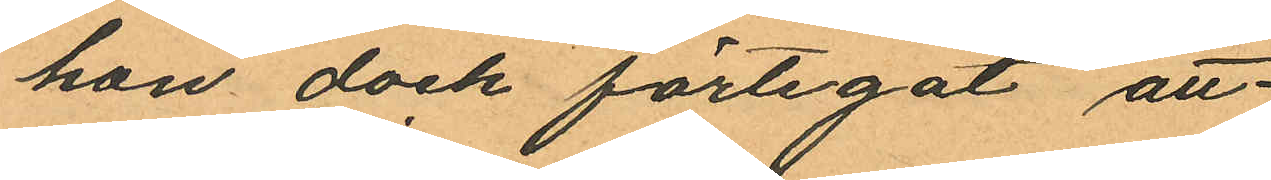hon dock förtigit att
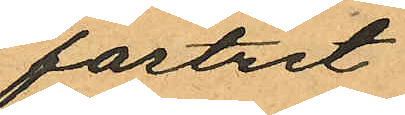fostret
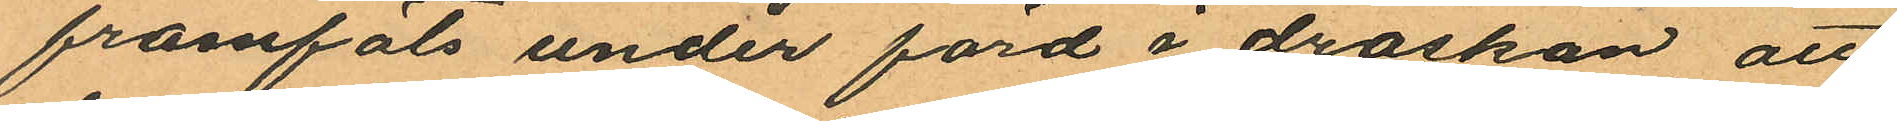framföts under färd i droskan, att
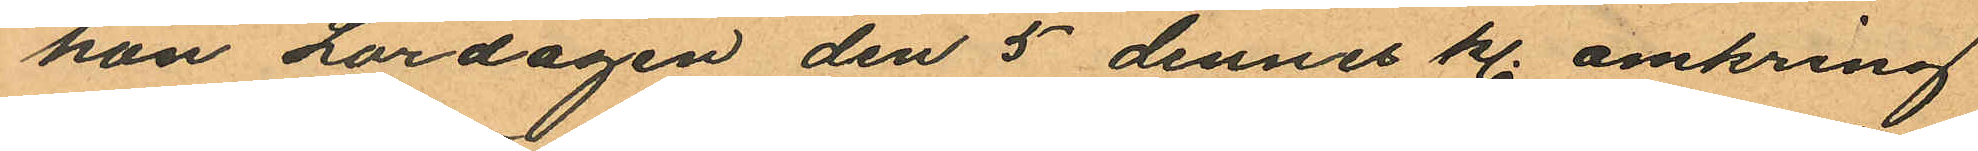hon Lördagen den 5 dennes kl. omkring
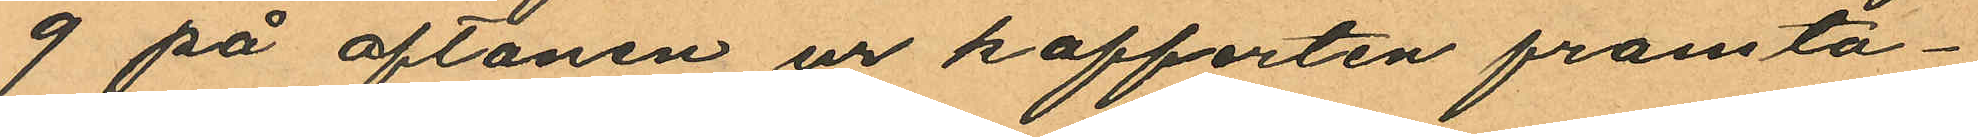9 på aftonen ur kofferten framta¬
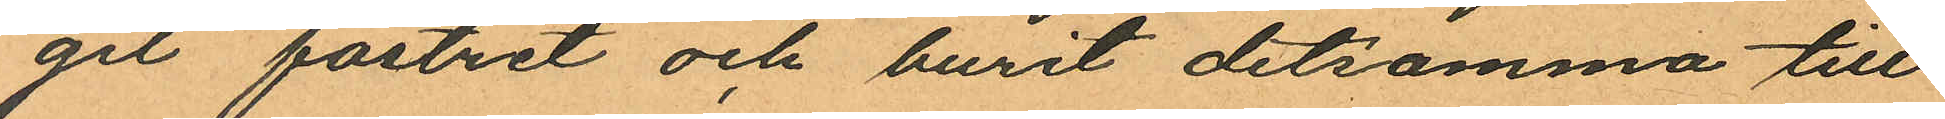git fostret och burit detsamma till
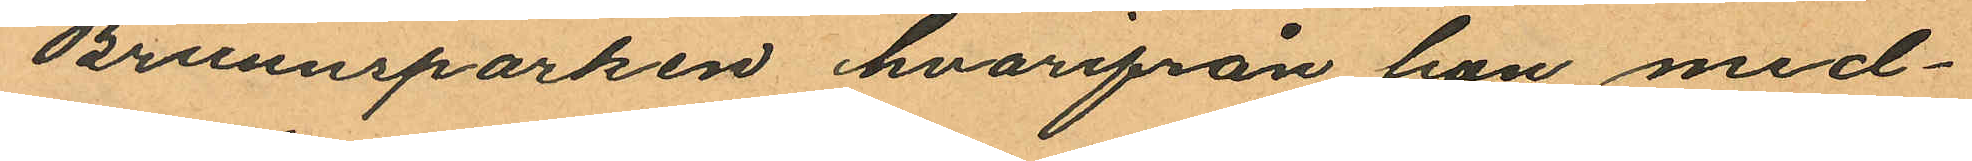Brunnsparken hvarifrån hon med¬
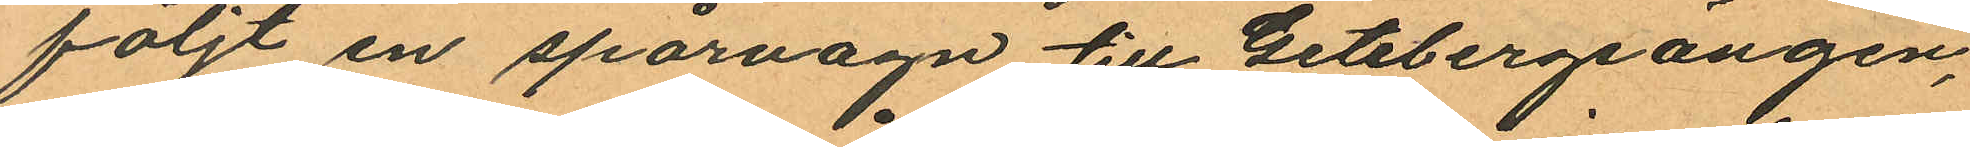följt en spårvagn till Getebergsängen,
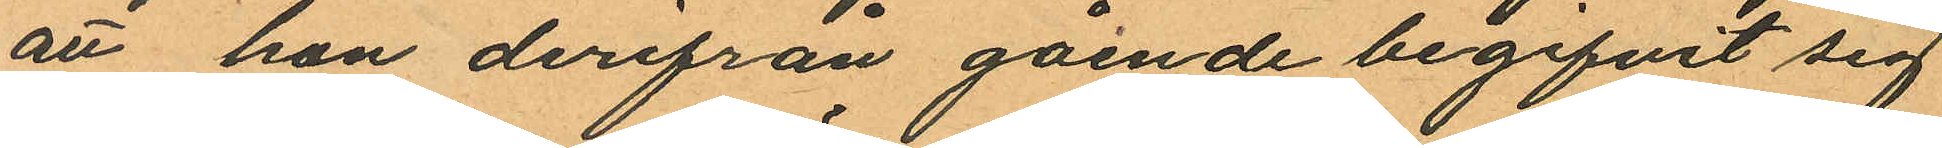att hon derifrån gående begifvit sig
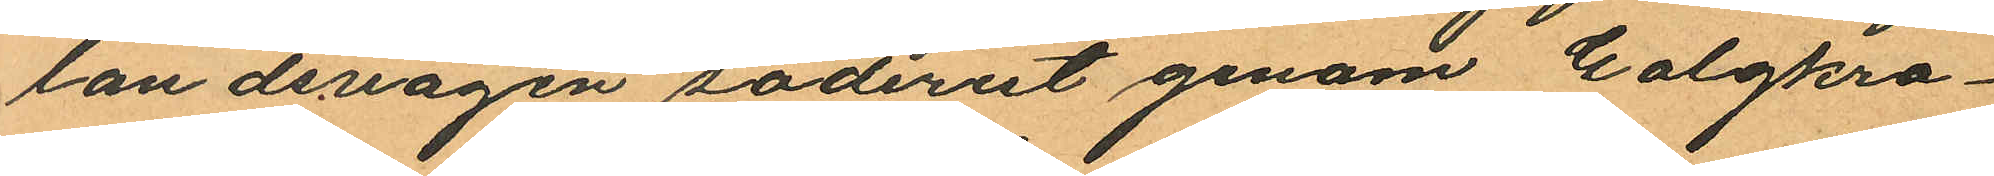landsvägen söderut genom Galgkro¬
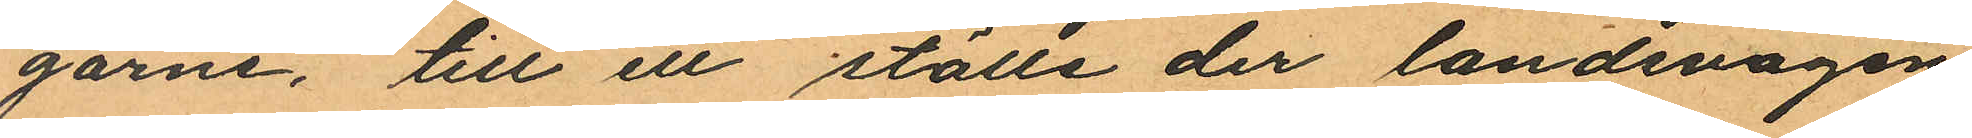garne, till ett ställe der landsvägen
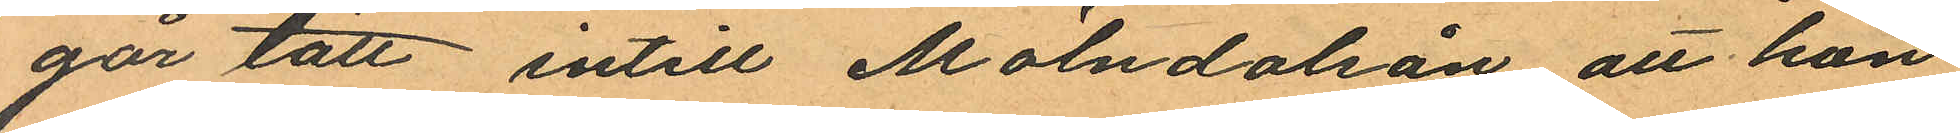går tätt intill Mölndalsån att hon
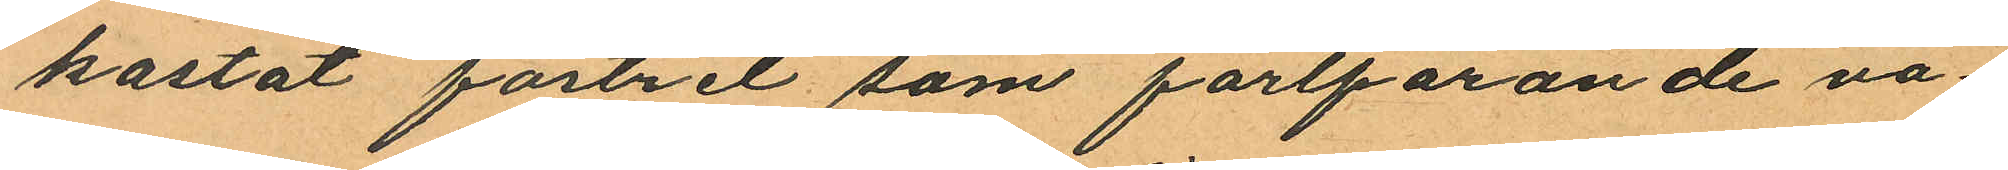kastat fostret som fortfarande va¬
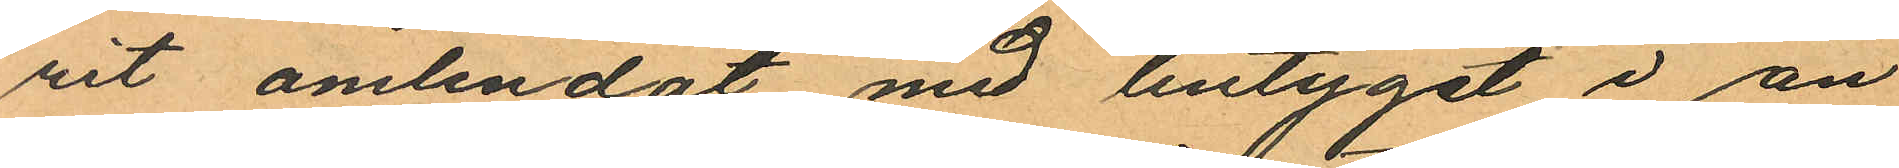rit omlindat med lintyget i ån
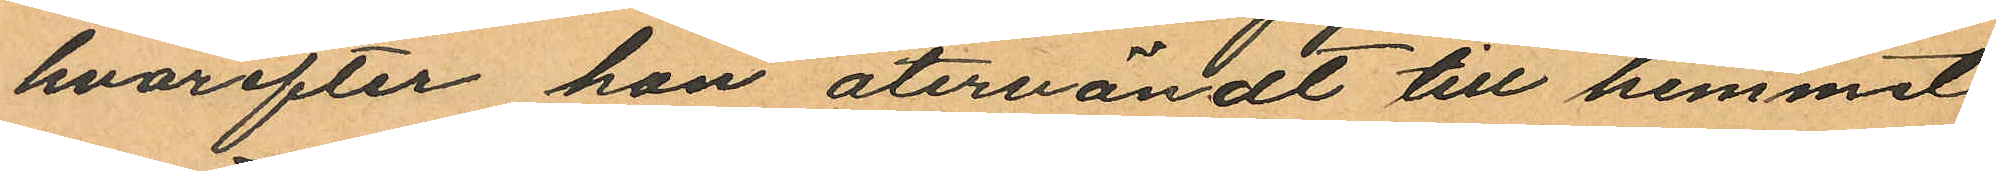hvarefter hon återvändt till hemmet
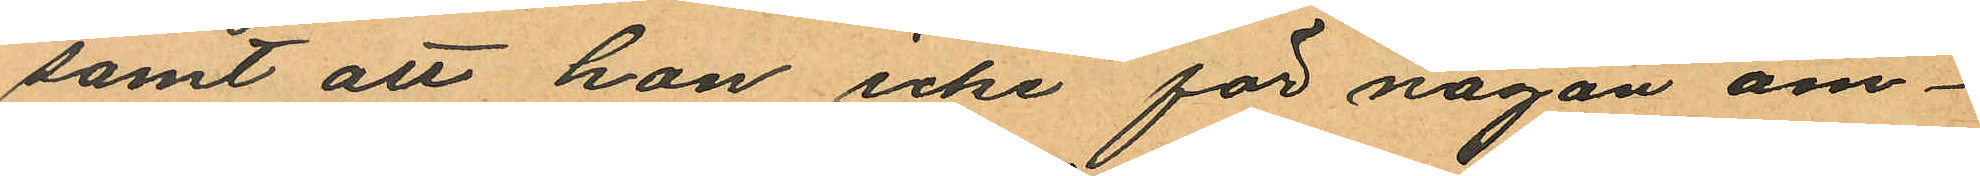samt att hon icke för någon om¬
